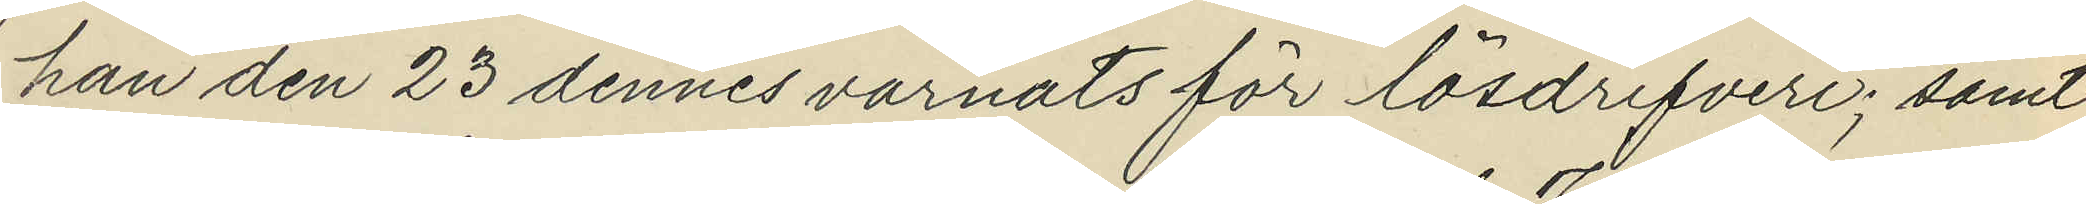han den 23 dennes varnats för lösdrifveri; samt
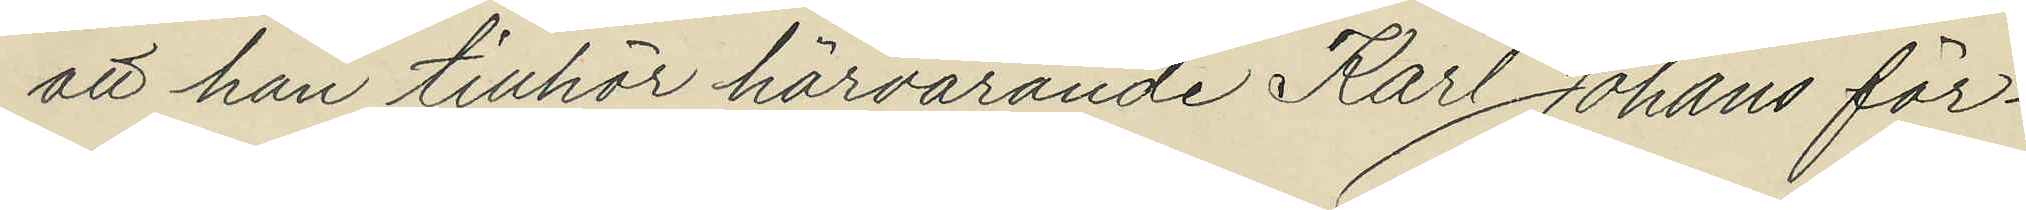att han tillhör härvarande Karl Johans för¬
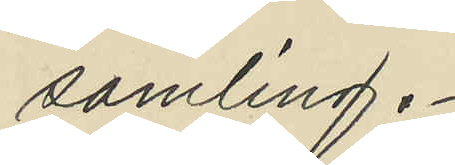samling.
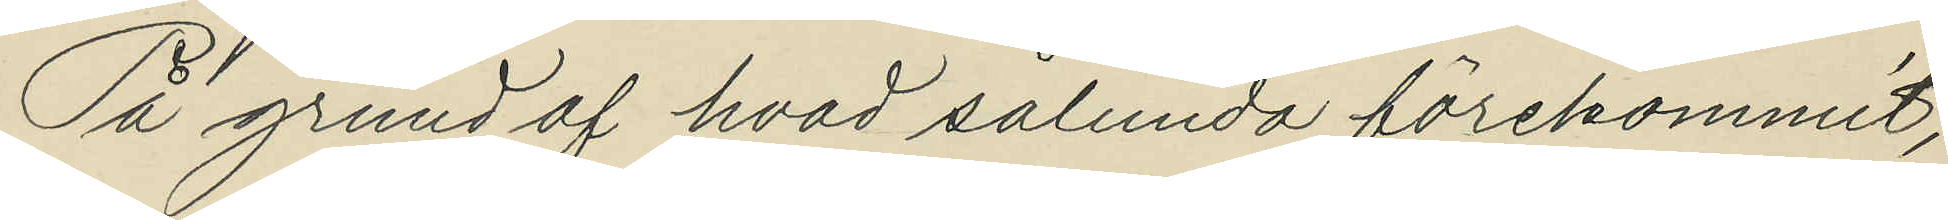På grund af hvad sålunda förekommit,
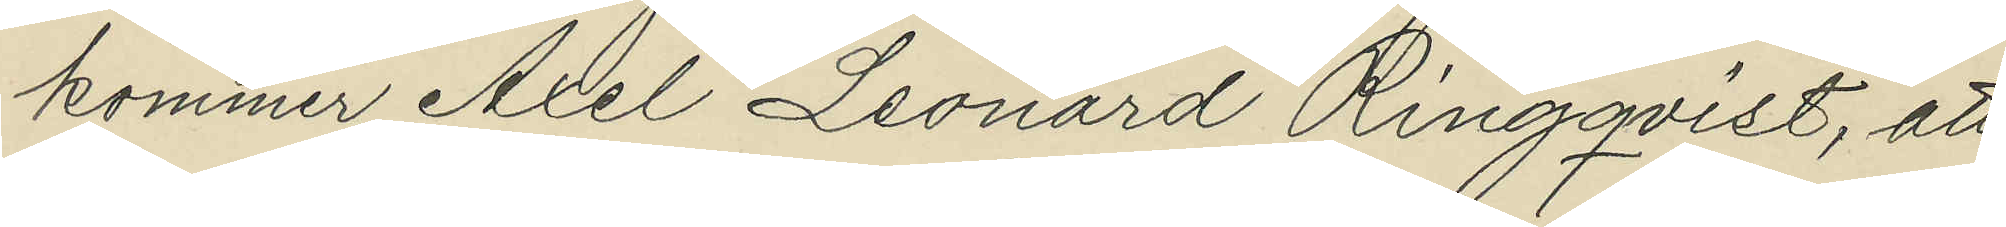kommer Axel Leonard Ringqvist, att
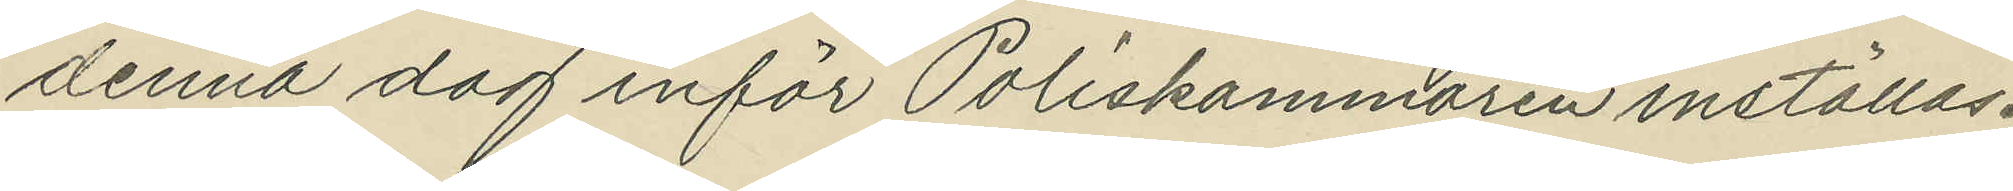denna dag inför Poliskammaren inställas.
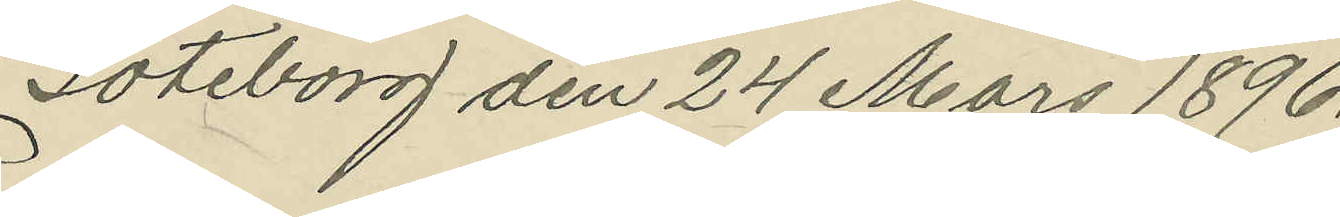Göteborg den 24 Mars 1896.
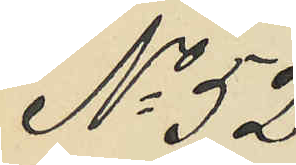No 52.
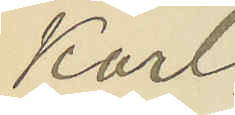Karl
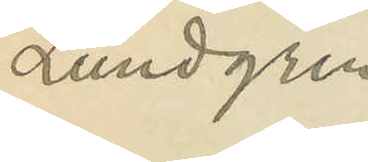Lundgren
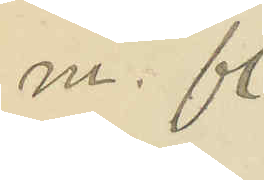m. fl.
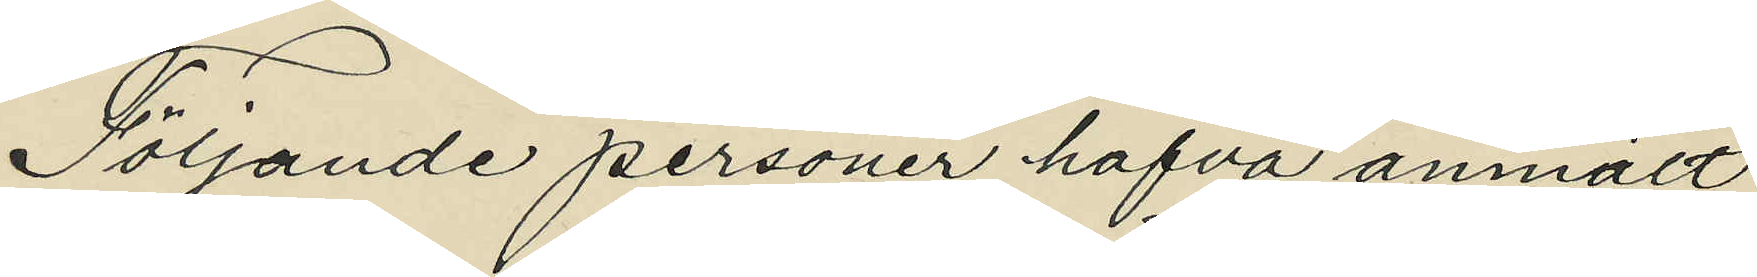Följande personer hafva anmält:
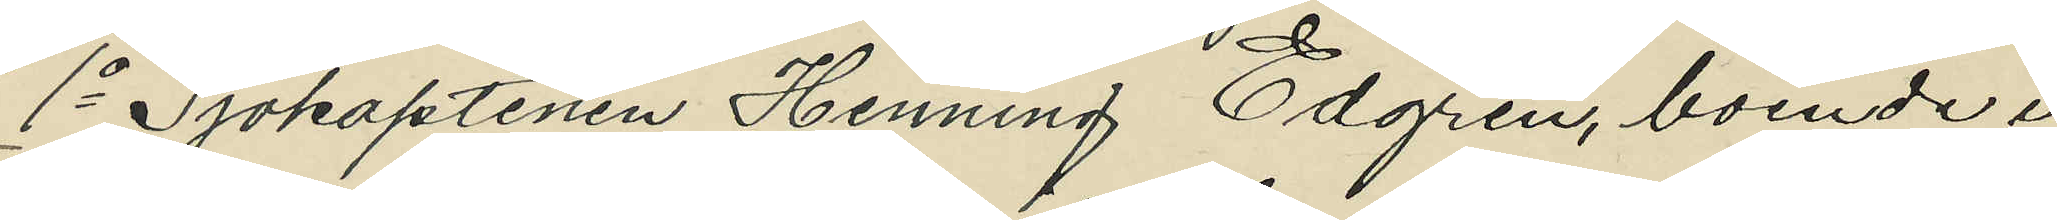1o Sjökaptenen Henning Edgren, boende i
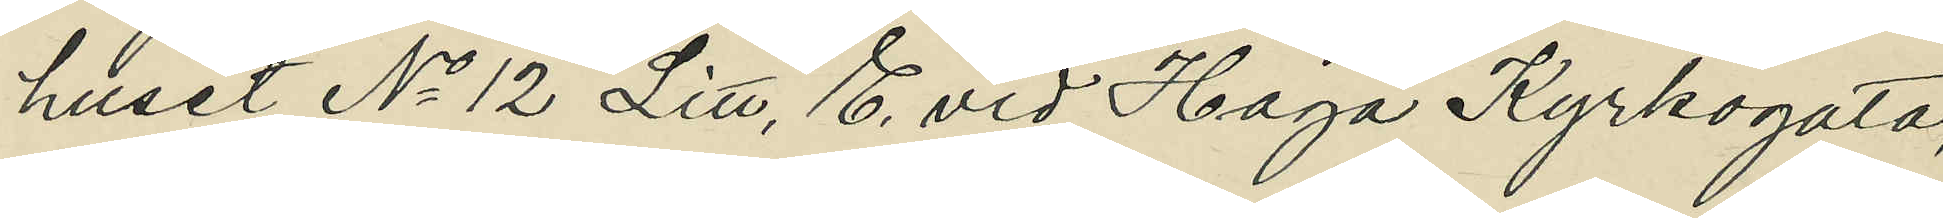huset No 12 Litt. E. vid Haga Kyrkogata,
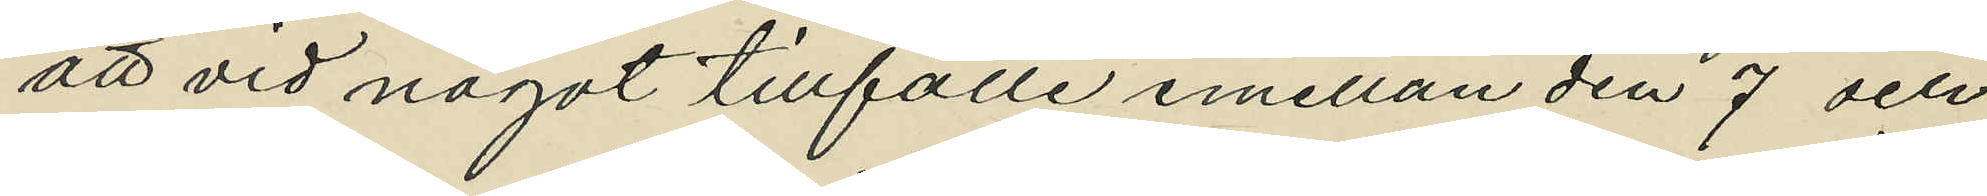att vid något tillfälle emellan den 7 och
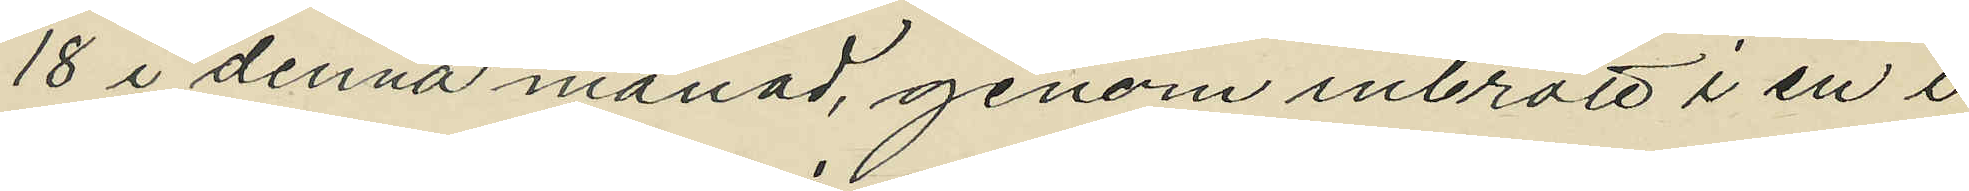18 i denna månad, genom inbrott i en i
